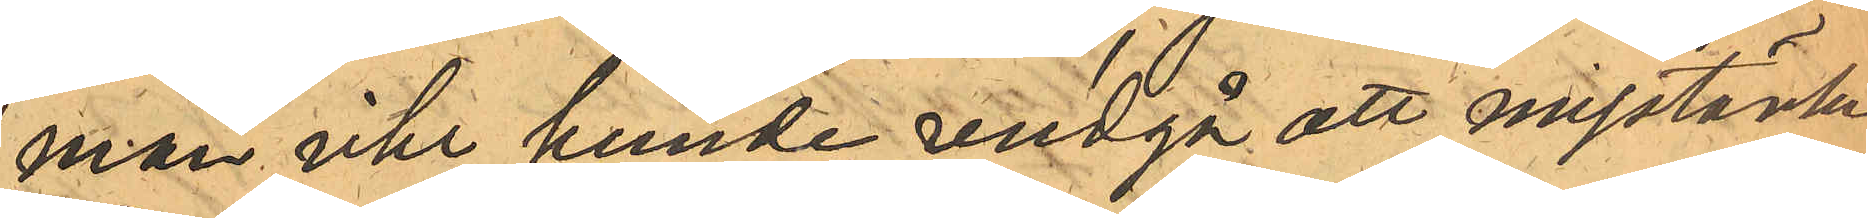man icke kunde undgå att misstänka
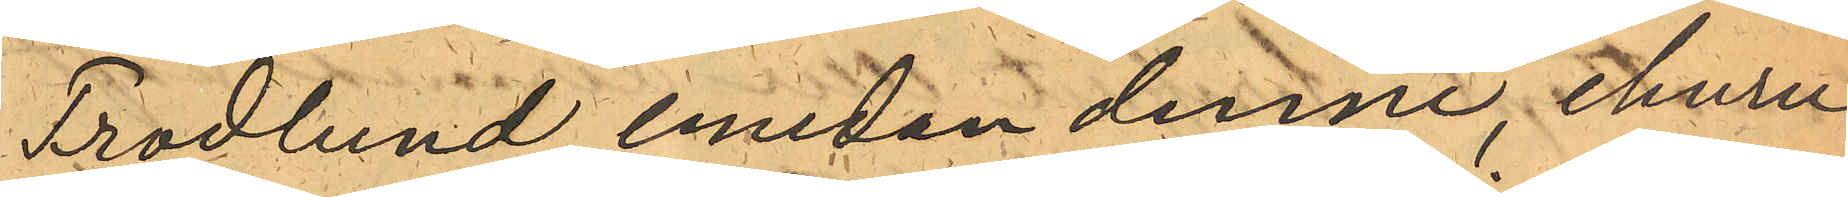Frodlund, emedan denne, ehuru
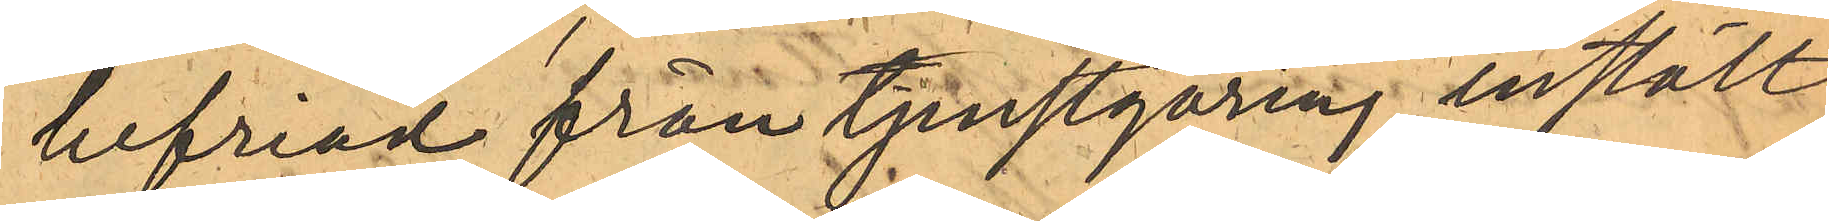befriad från tjenstgöring instält
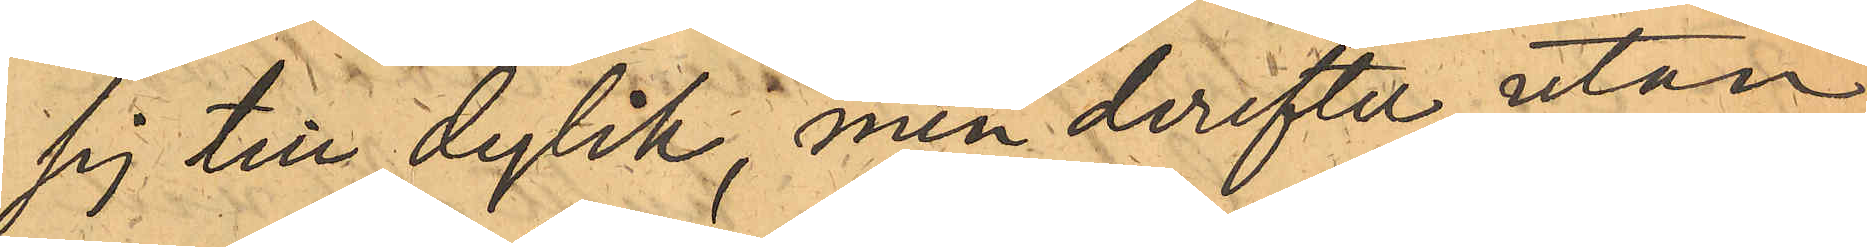sig till dylik, men derefter utan
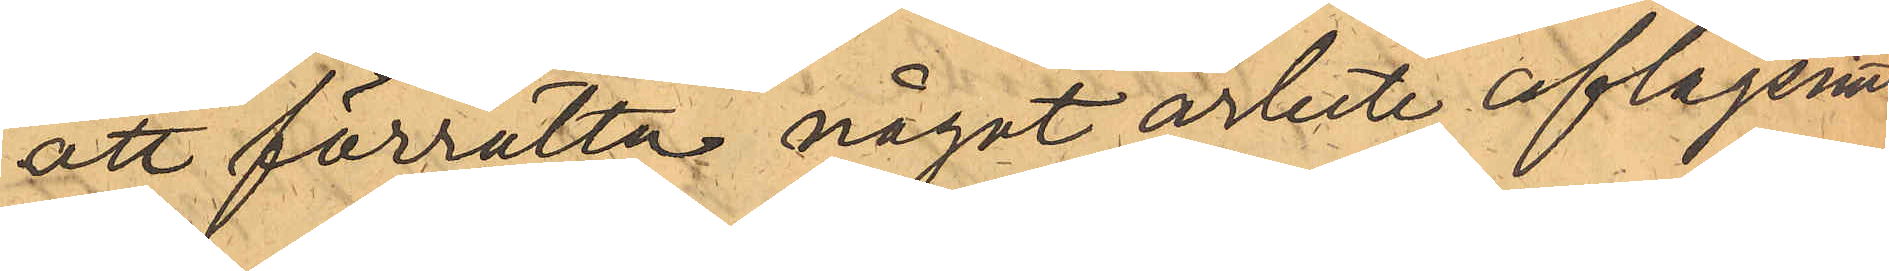att förrätta något arbete, aflägsnat
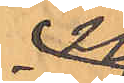sig
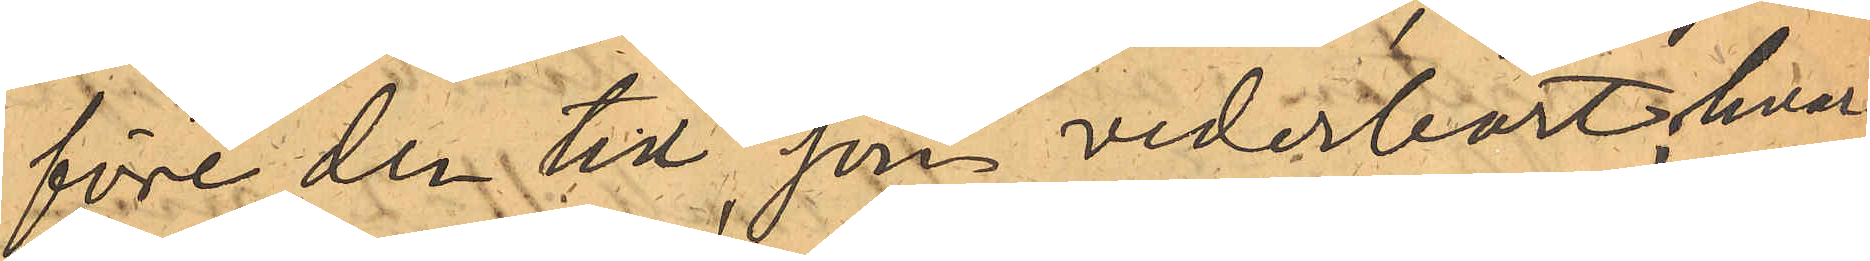före den tid, som vederbort; hvar¬
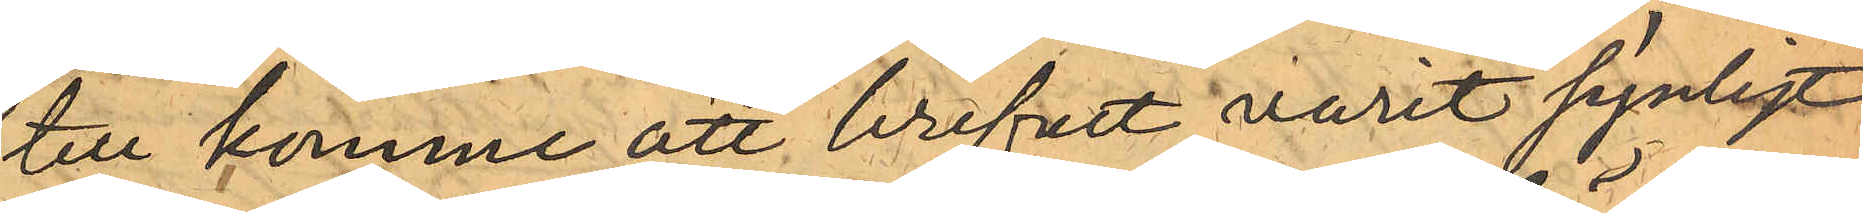till komme att brefvet varit synligt
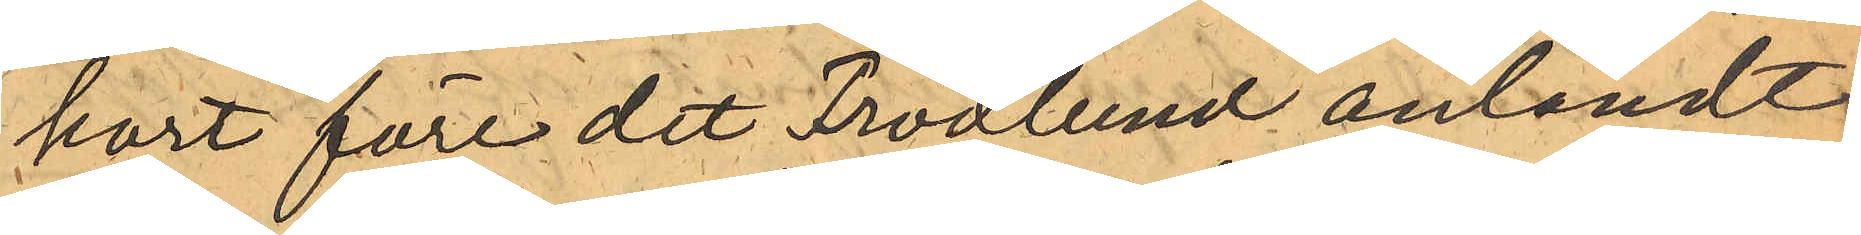kort före det Frodlund anländt
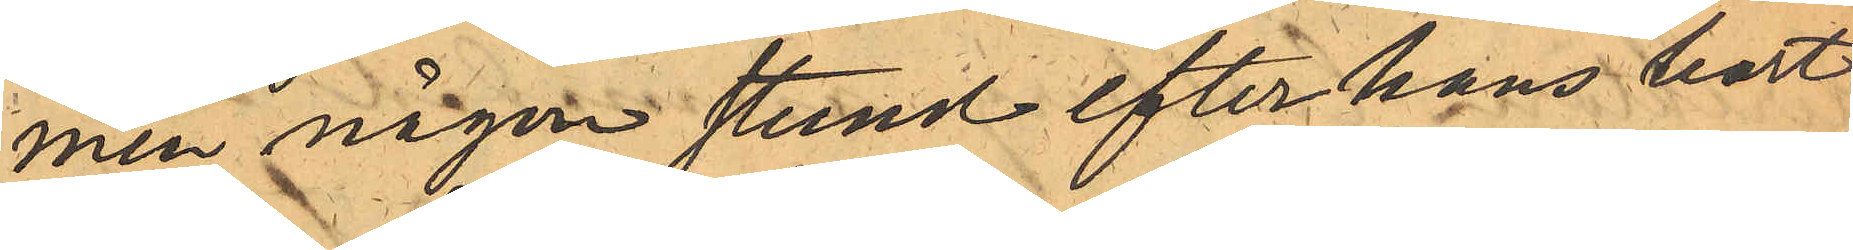men någon stund efter hans bort¬
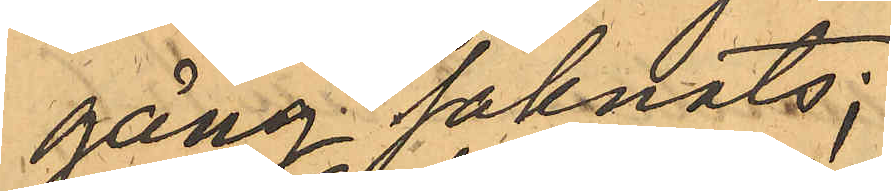gång saknats;
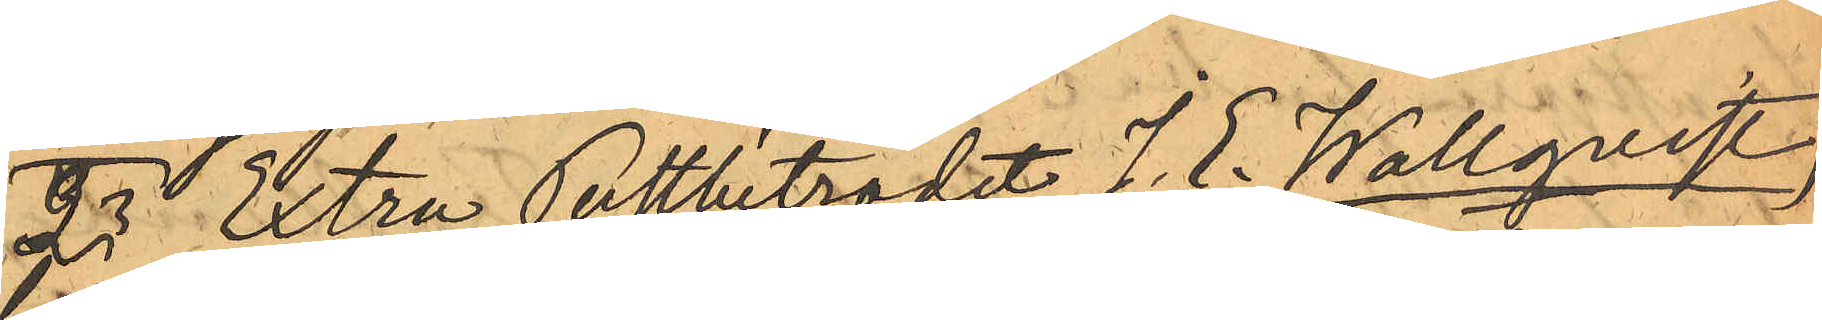2o Extra Postbiträdet J. E. Wallqvist
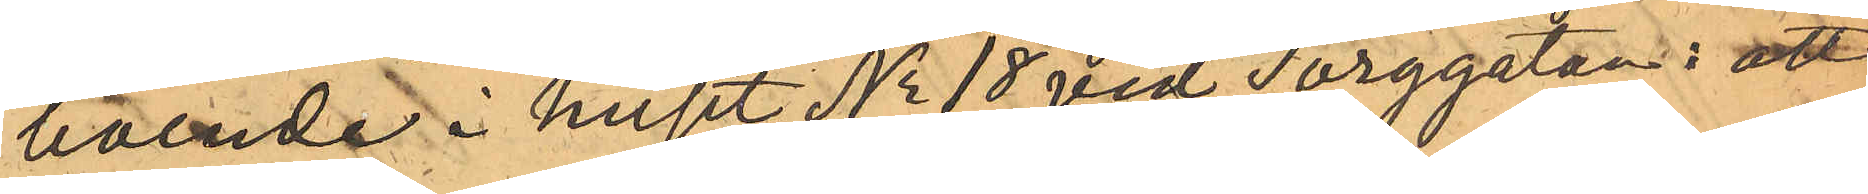boende i huset No 18 vid Torggatan: att
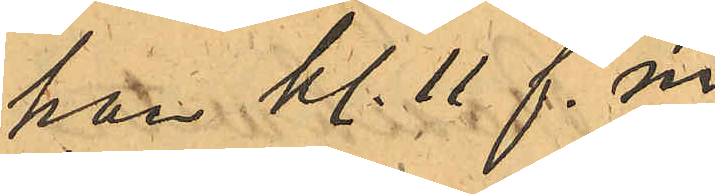han kl. 11 f.m.
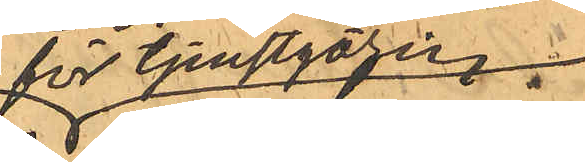för tjenstgöring
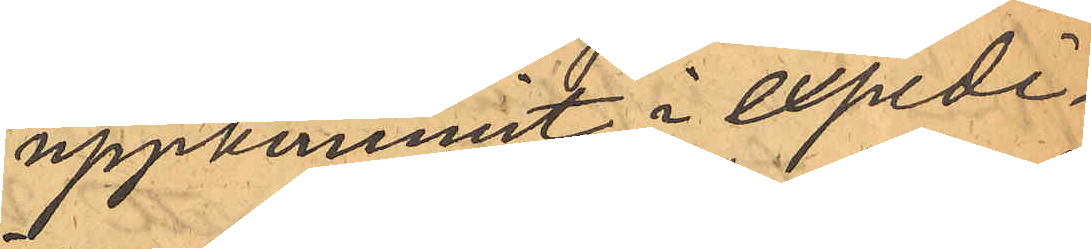uppkommit i expedi¬
